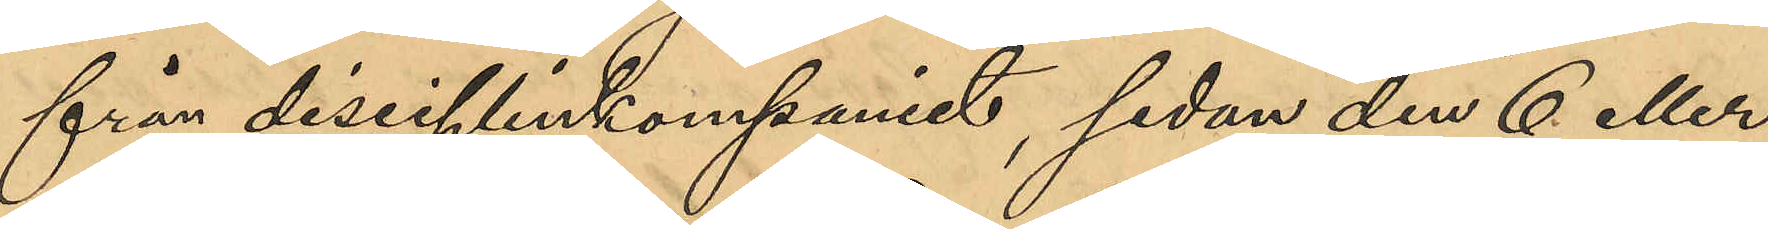från disciplinkompaniet, sedan den 6 eller
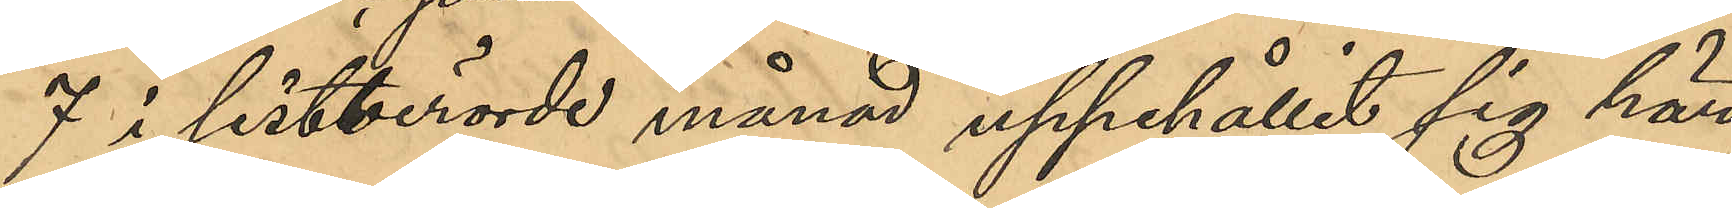7 i sistberörde månad uppehållit sig här
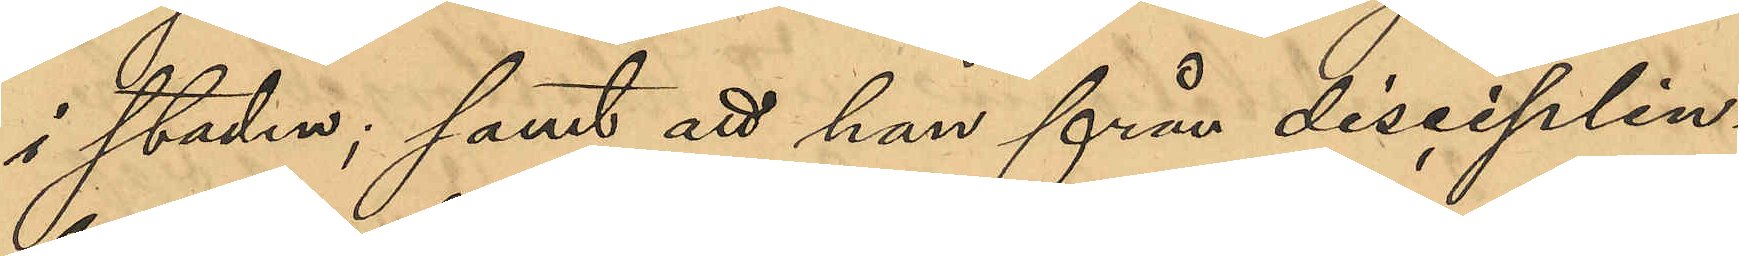i staden; samt att han från disciplin¬
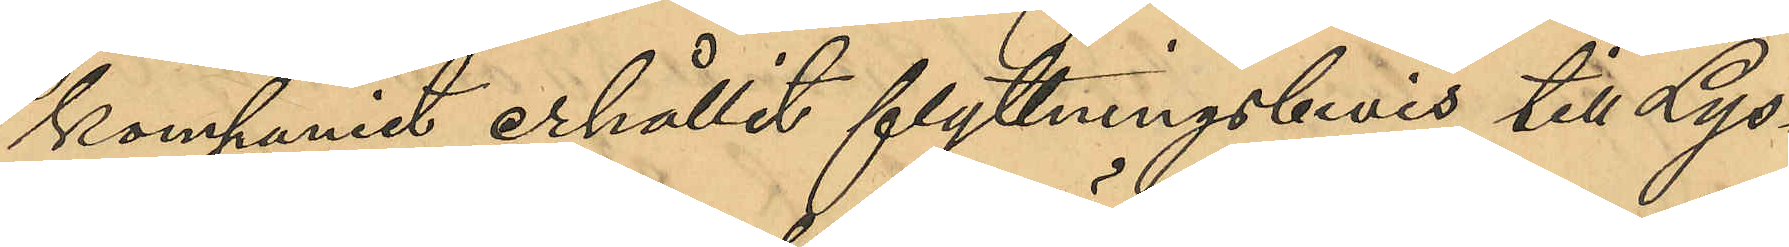kompaniet erhållit flyttningsbevis till Lys¬
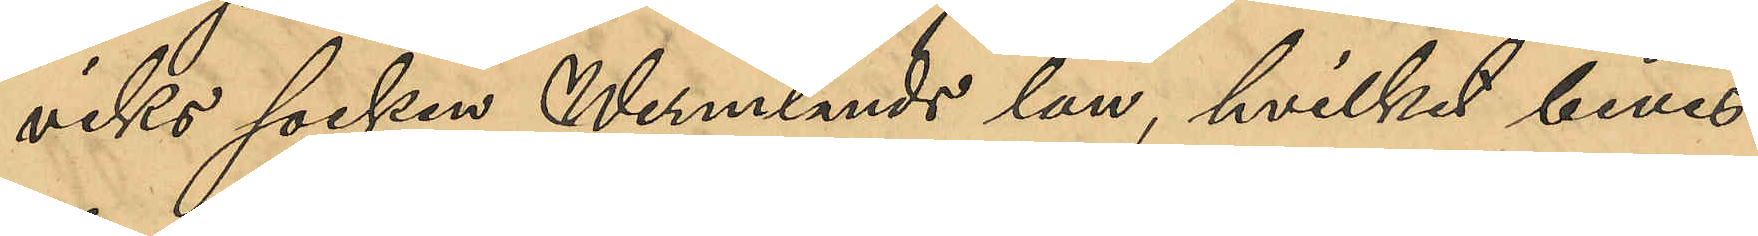viks socken, Wermlands län, hvilket bevis
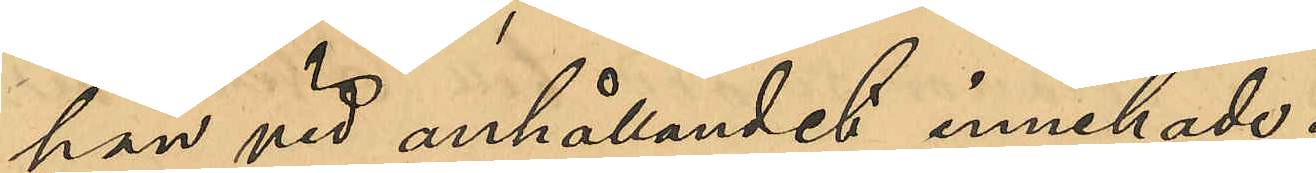han vid anhållandet innehade.
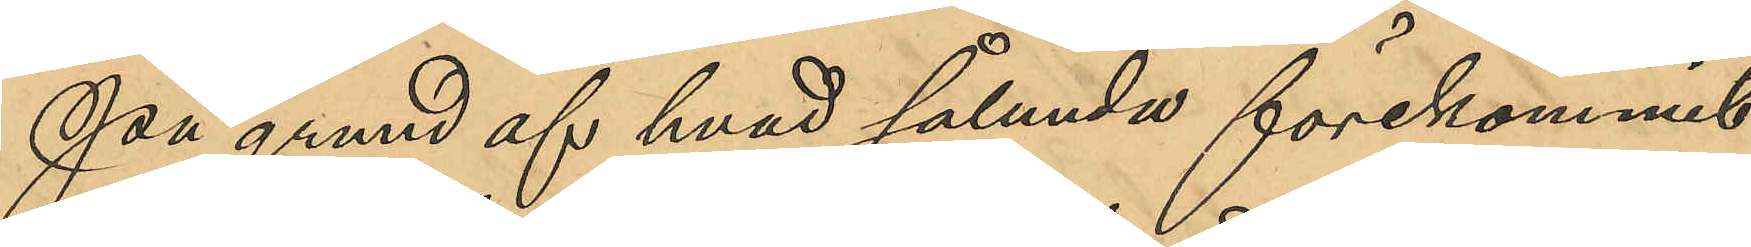På grund af hvad sålunda förekommit
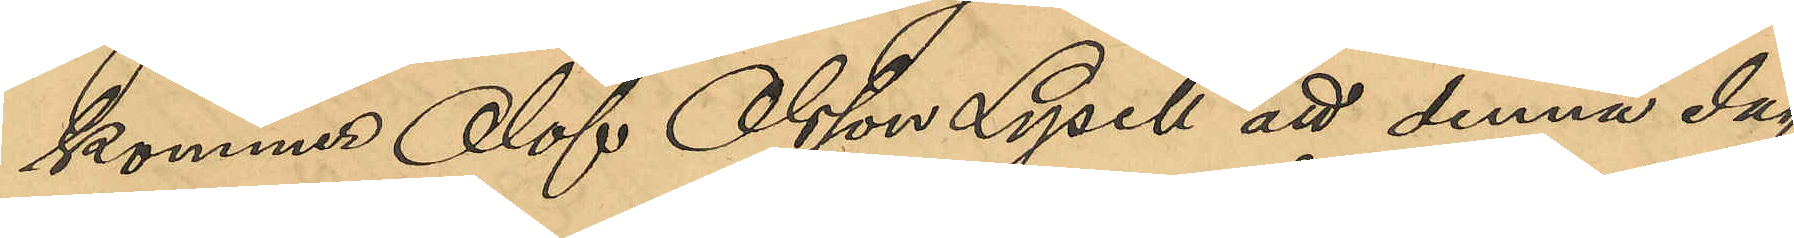kommer Olof Olsson Lysell att denna dag
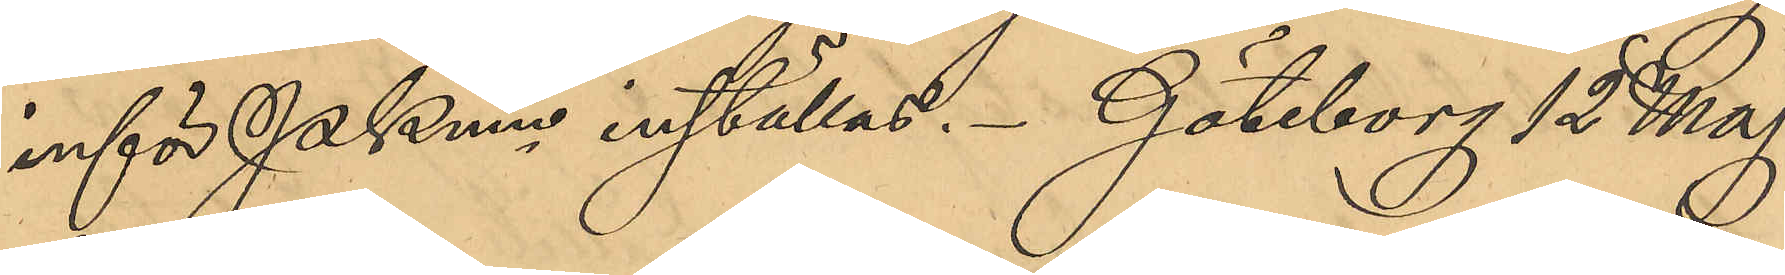inför PKmn inställas. Göteborg 12 Maj
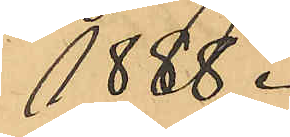1888.
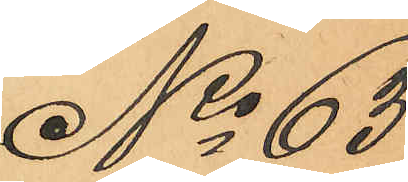No 63
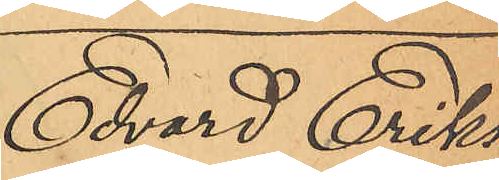Edvard Eriks¬
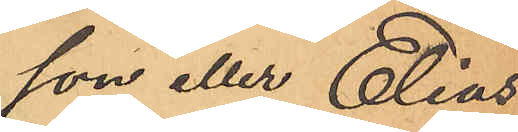son eller Elias¬
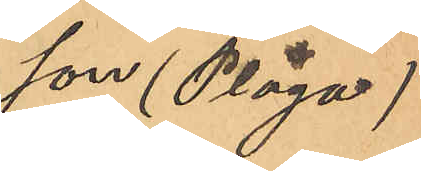son (Plåga)
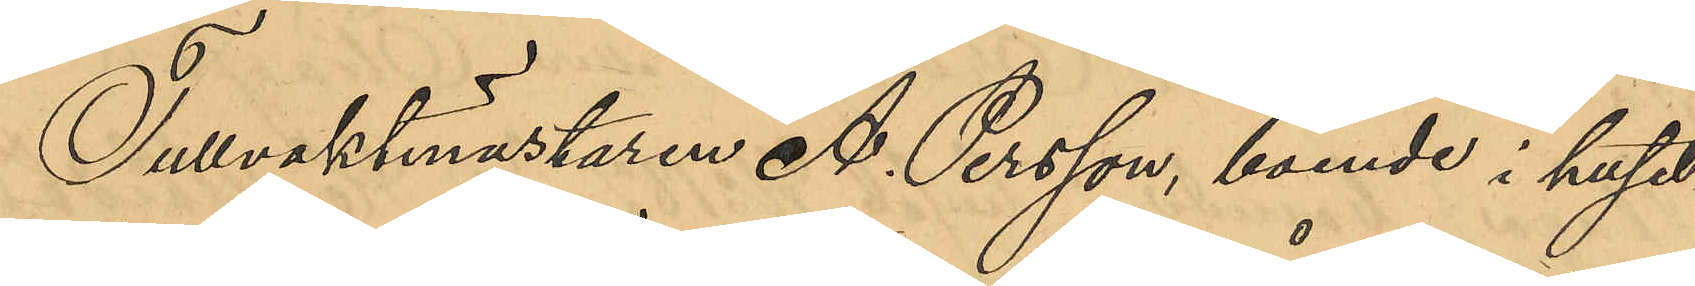Tullvaktmästaren A. Persson, boende i huset
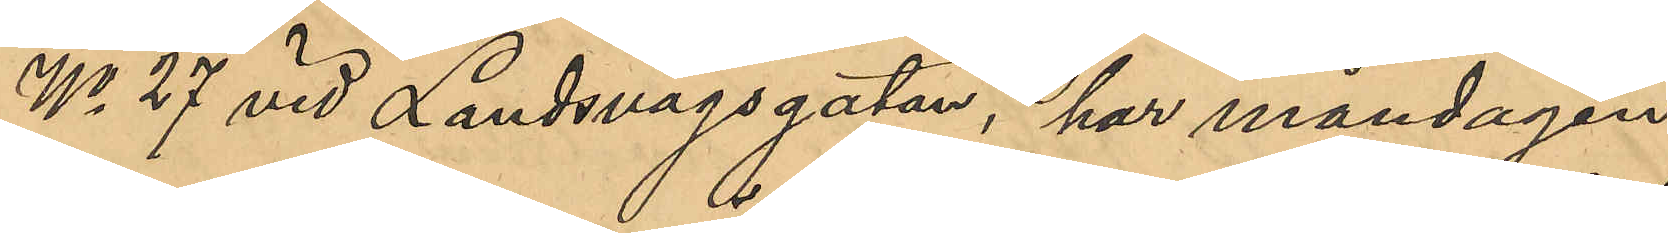No 27 vid Landsvägsgatan, har måndagen
